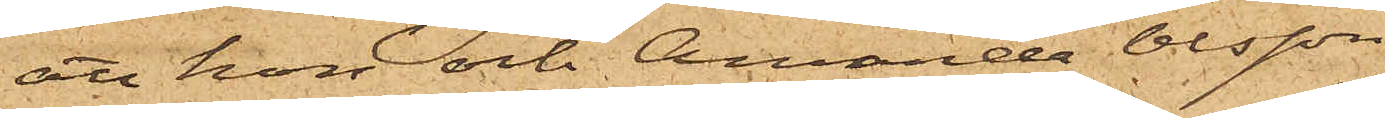att hon och Amanda Olsson
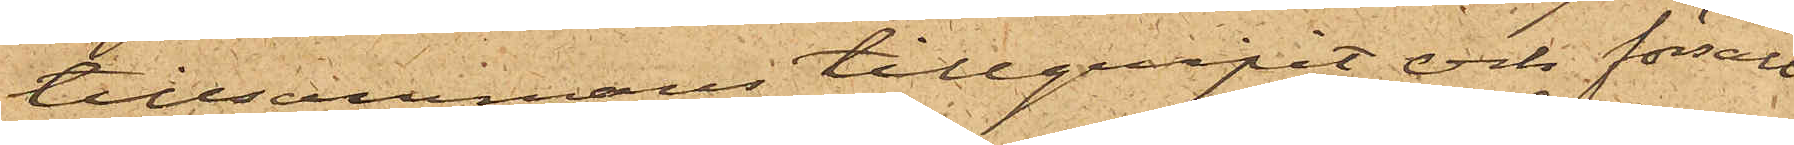tillsammans tillgripit och försålt
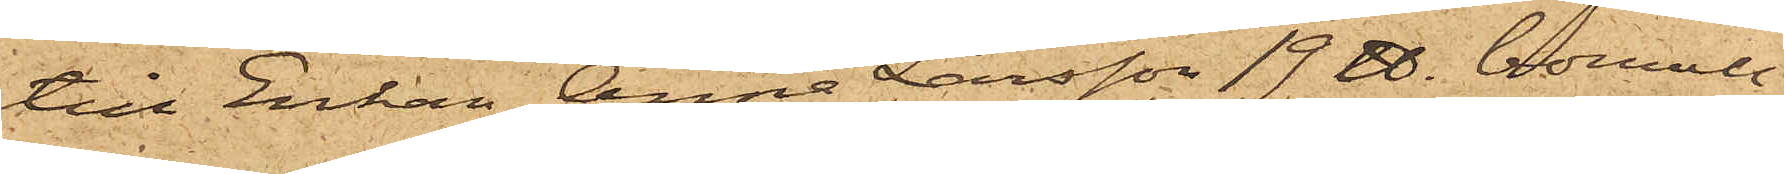till Enkan Anna Larsson 19 ℔. bomull,
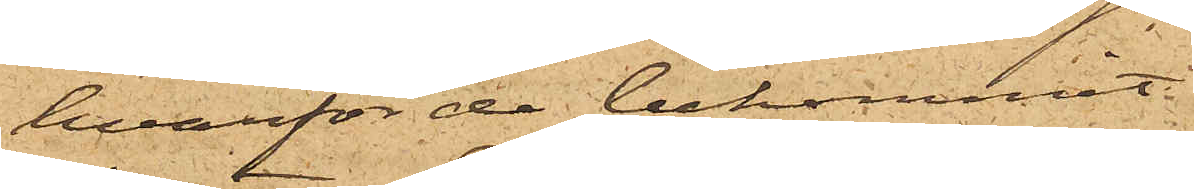hvarför de bekommit
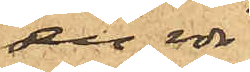en rdr
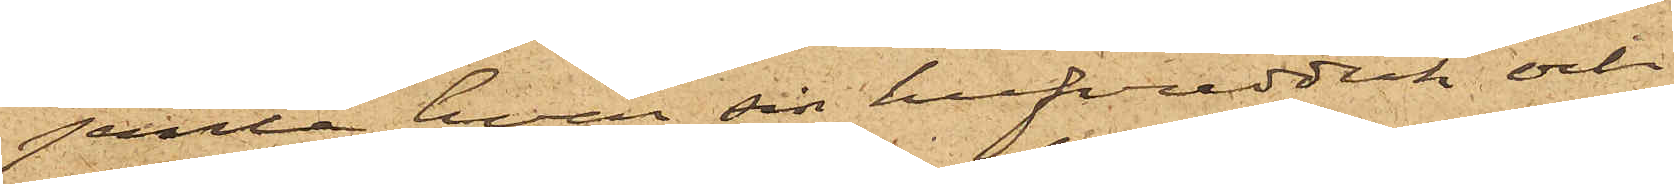jemte hvar sin hufvudduk och
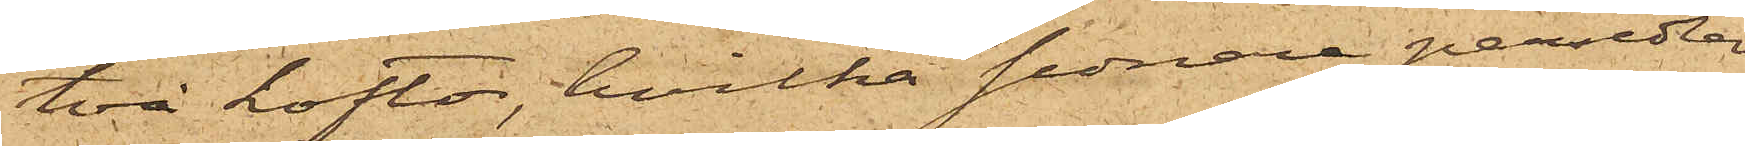två koftor, hvilka sednare persedlar
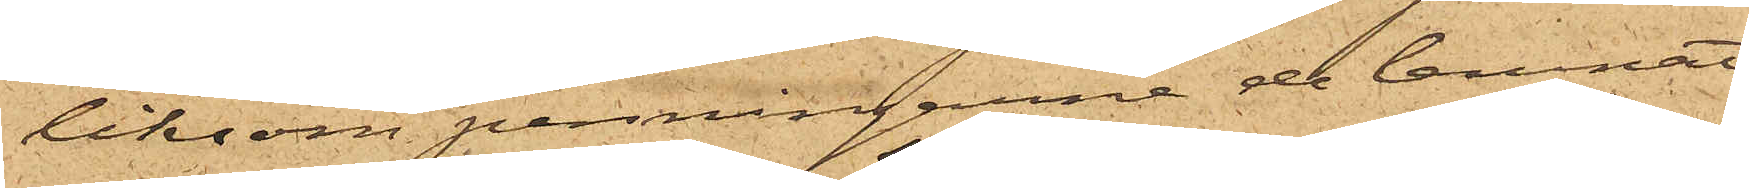liksom penningarne de lemnat
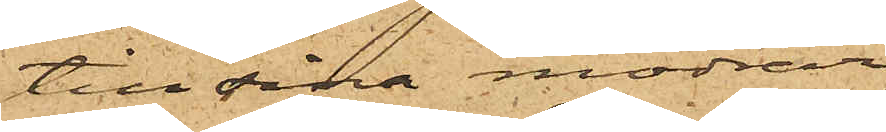till sina mödrar
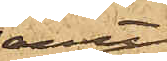samt
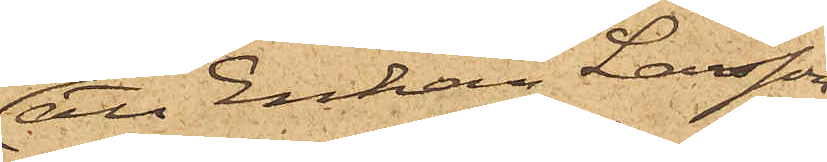att Enkan Larsson
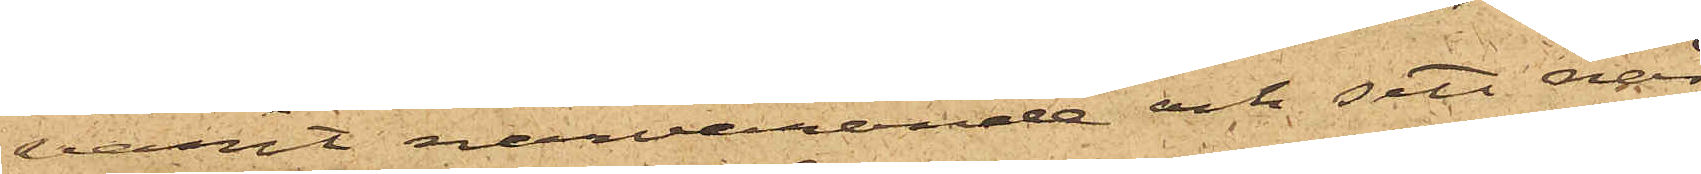varit närvarande och sett när
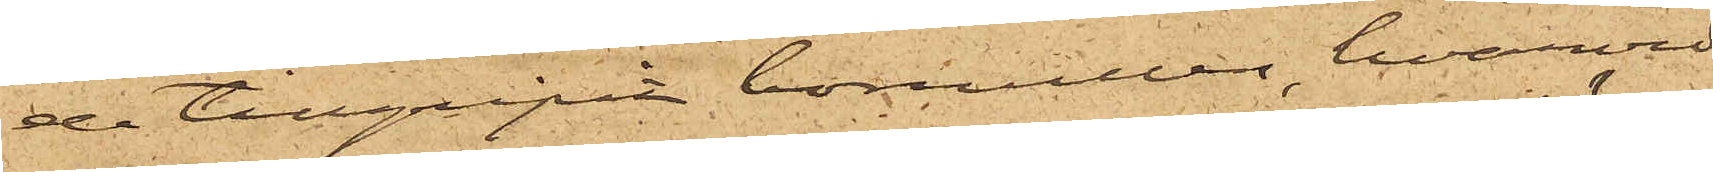de tillgripit bomullen, hvarvid
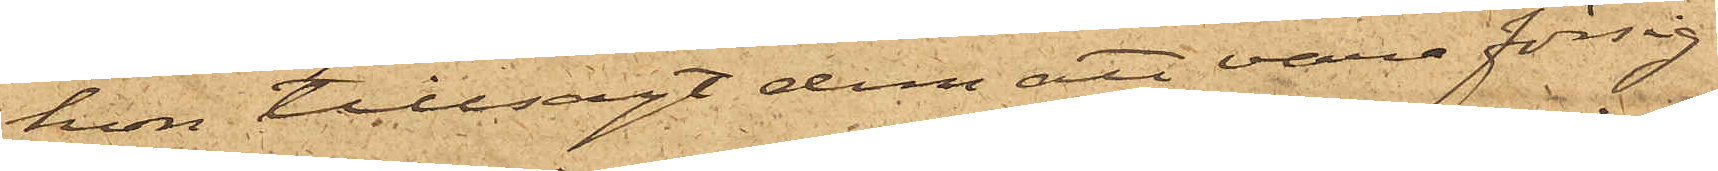hon tillsagt dem att vara försig¬
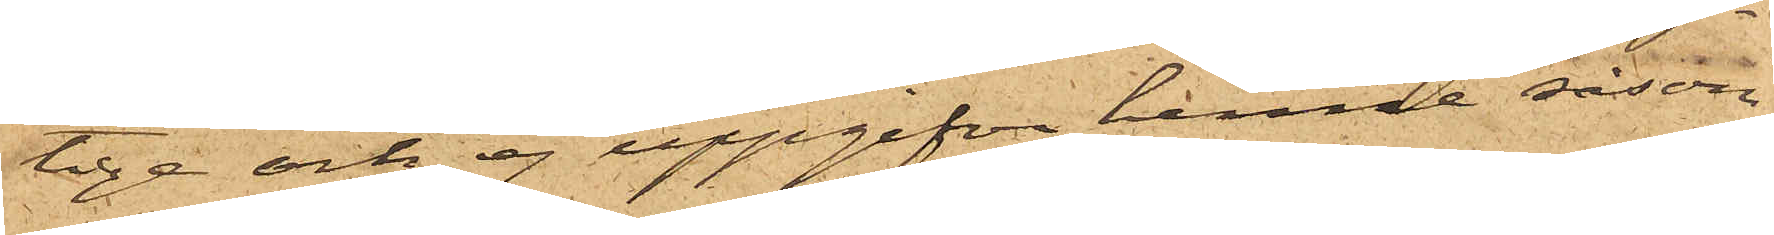lige och ej uppgifva henne såsom
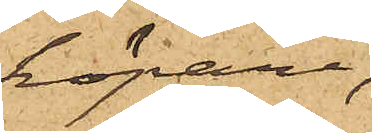köpare;
